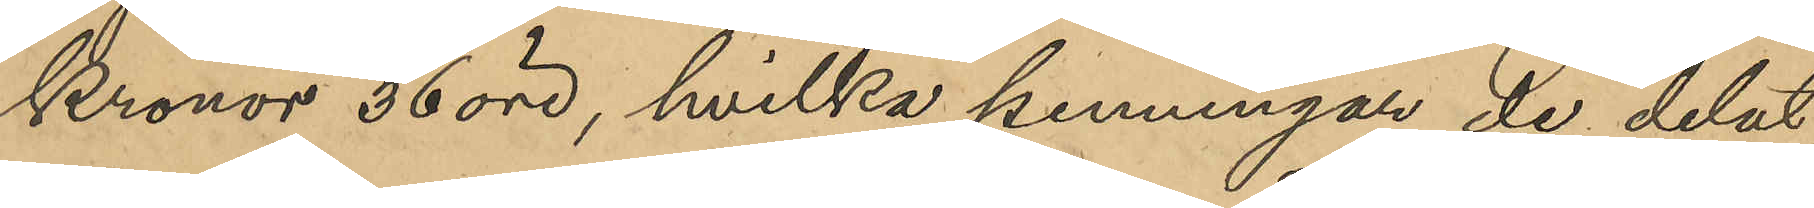Kronor 36 öre, hvilka penningar de delat;
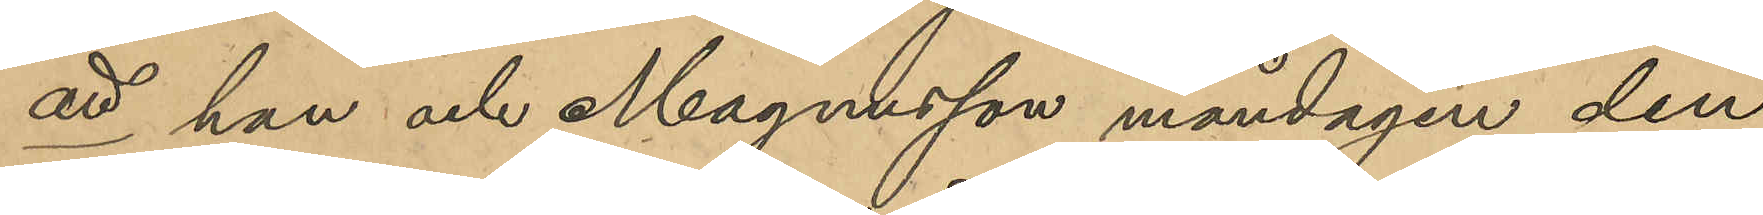att han och Magnusson måndagen den
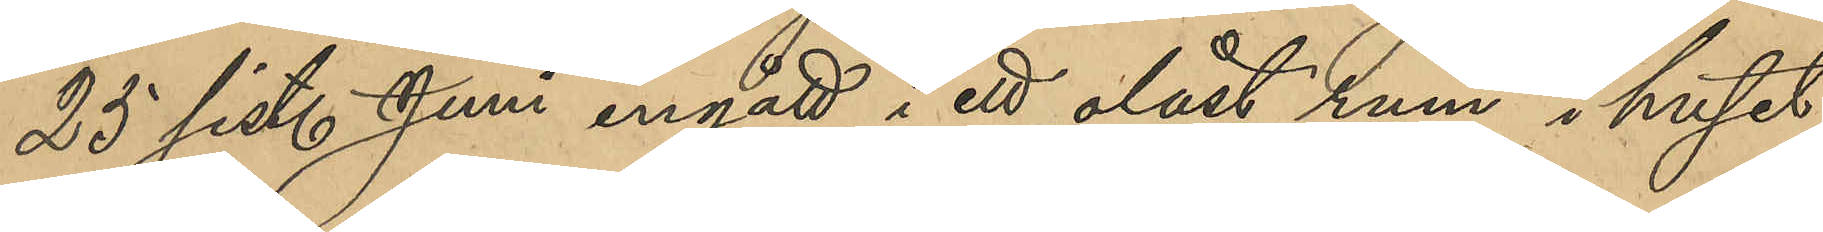25 sist. Juni ingått i ett olåst rum i huset
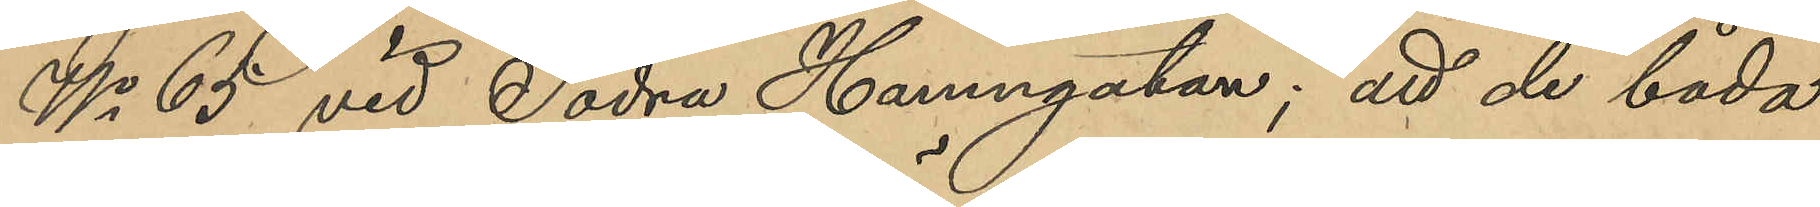No 65 vid Södra Hamngatan; att de båda
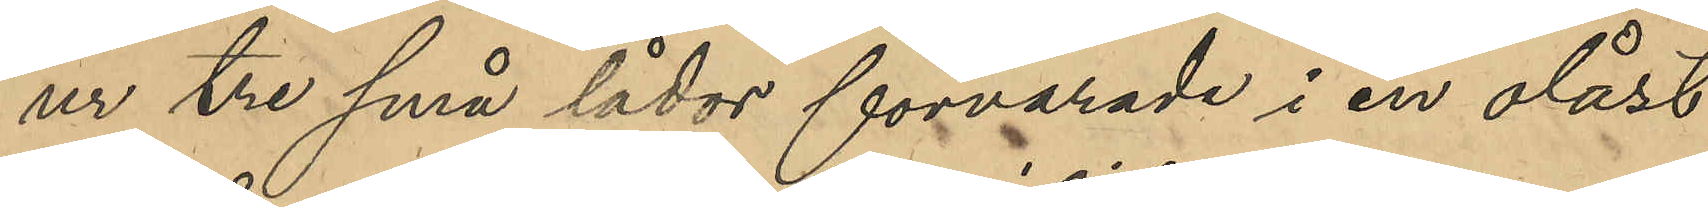ur tre små lådor förvarade i en olåst
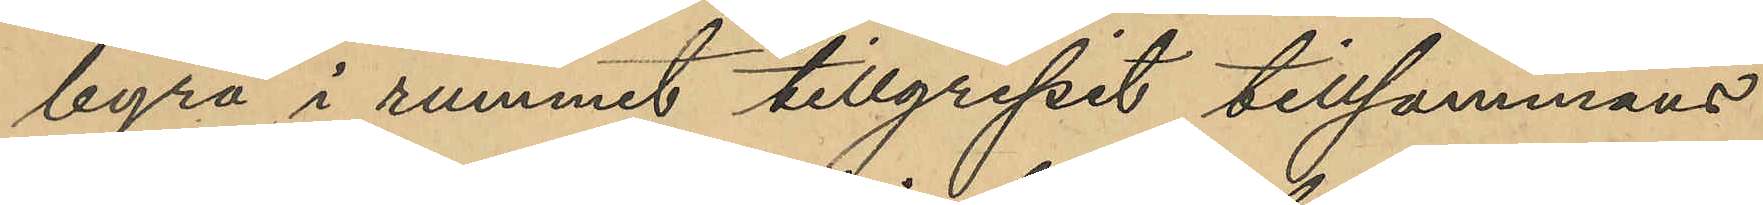byrå i rummet tillgripit tillsammans
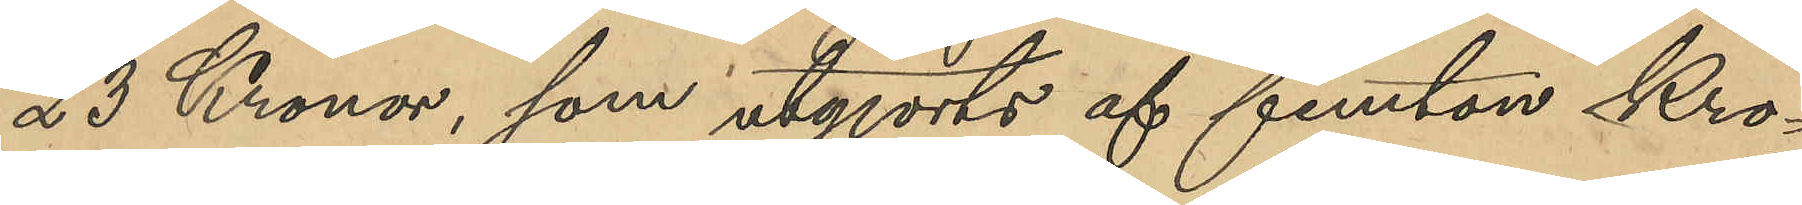23 Kronor, som utgjorts af femton Kro¬
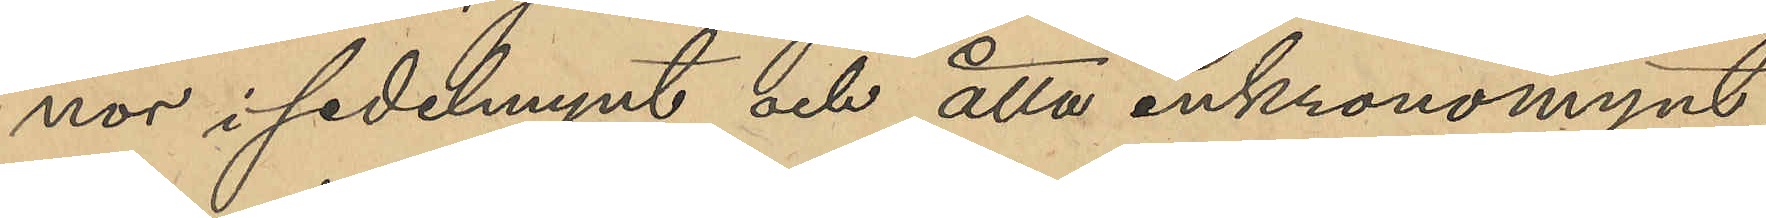nor i sedelmynt och åtta enkronomynt,
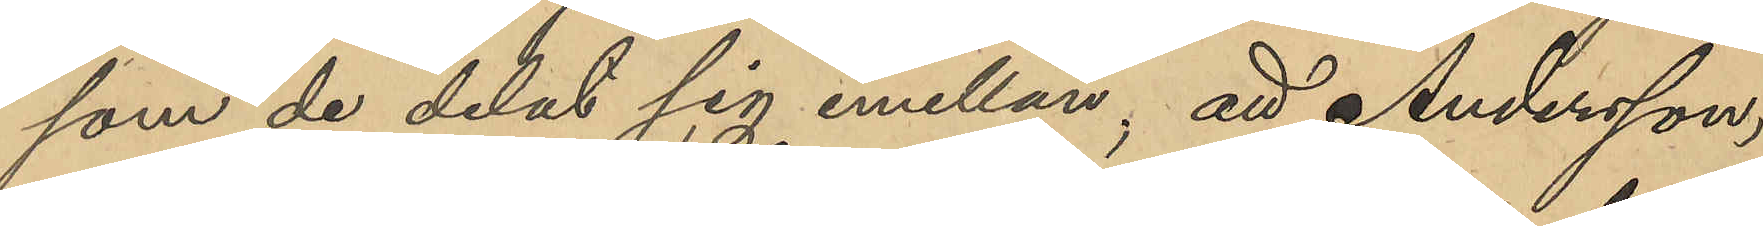som de delat sig emellan; att Andersson,
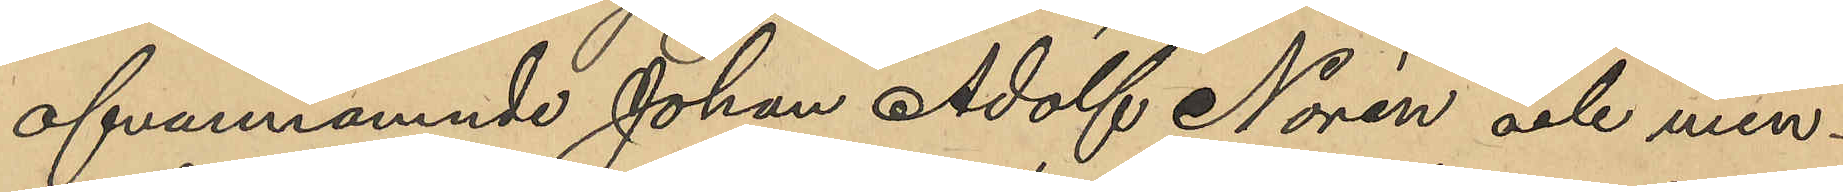ofvannämnde Johan Adolf Norén och min¬
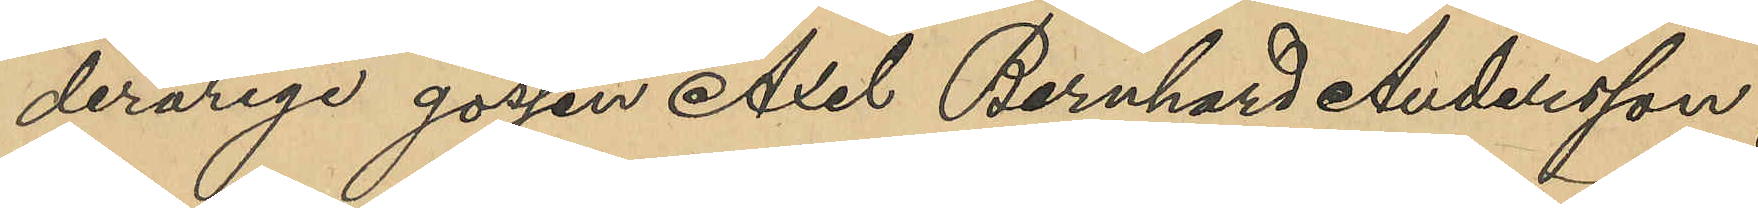derårige gossen Axel Bernhard Andersson,
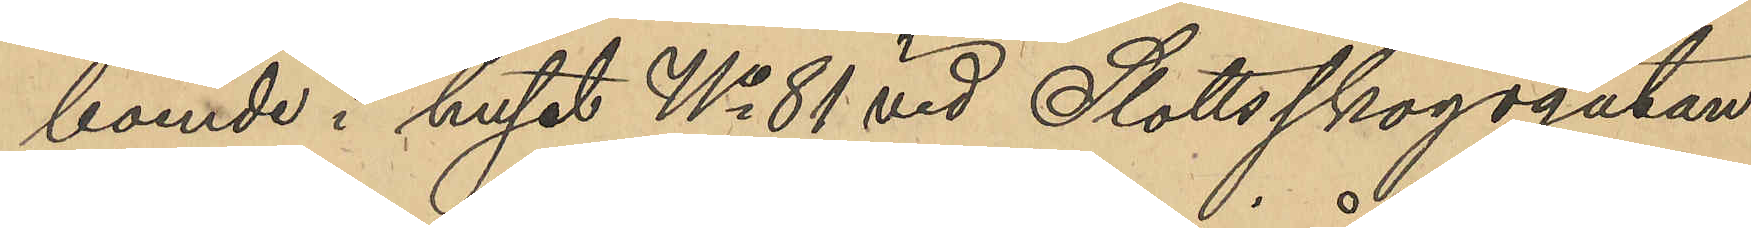boende i huset No 81 vid Slottsskogsgatan,
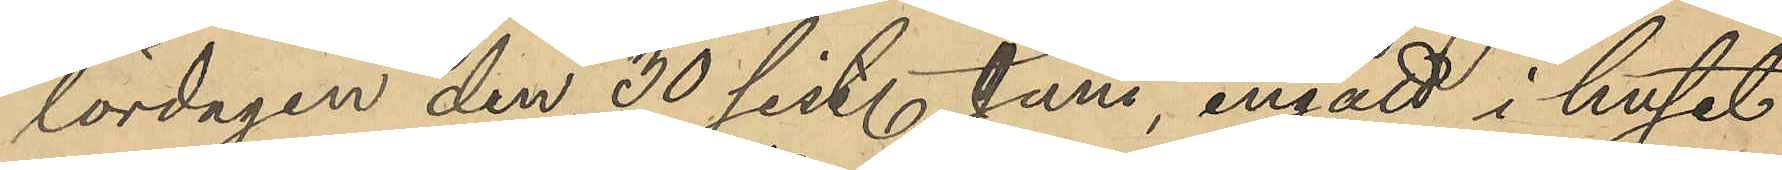lördagen den 30 sist. Juni ingått i huset
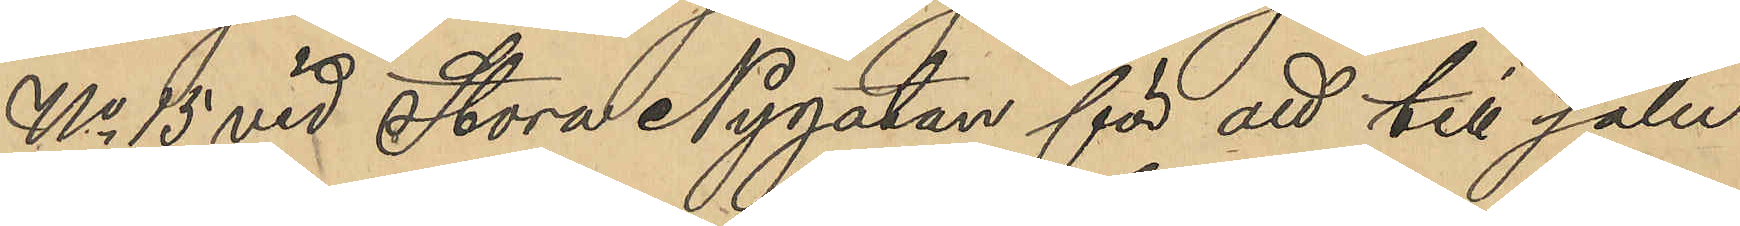No 15 vid Stora Nygatan för att till salu
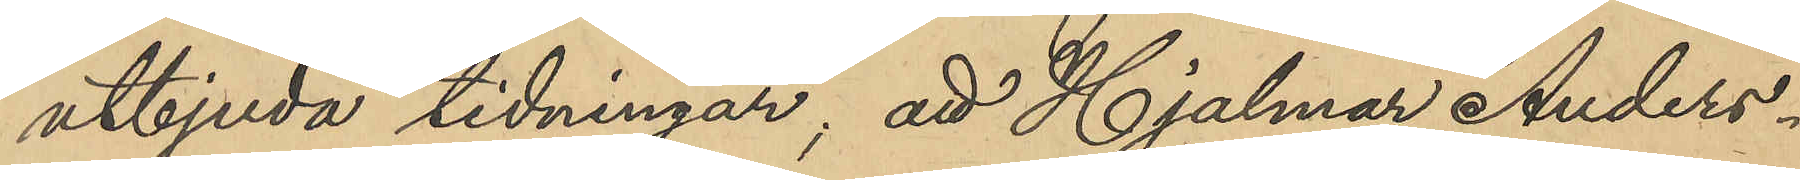utbjuda tidningar; att Hjalmar Anders¬
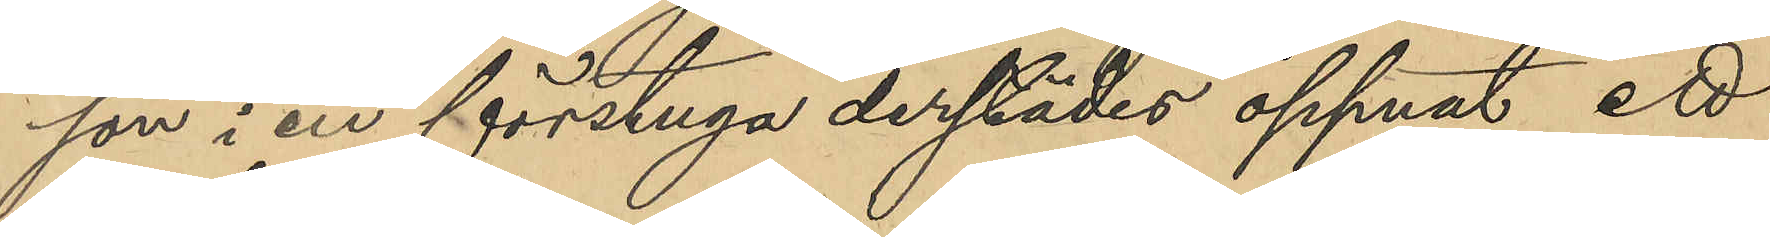son i en förstuga derstädes öppnat ett
